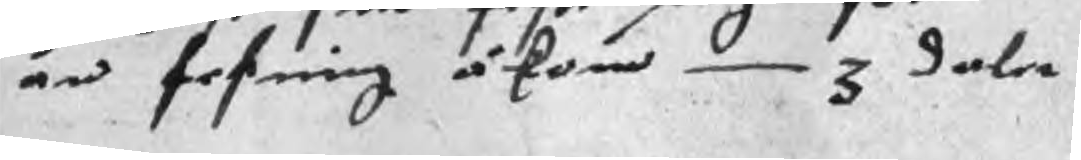än fesning åkom 3 daler
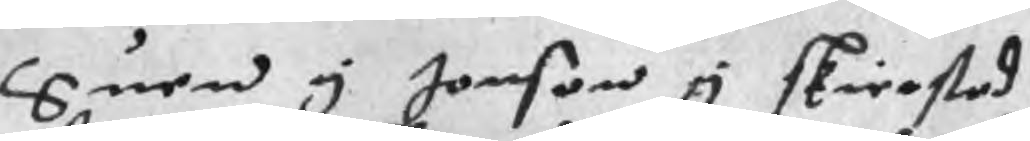Suen y Jonson y skierstad
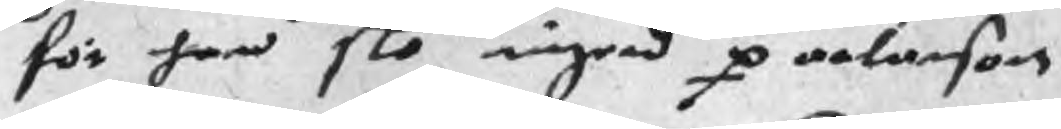för han slo ingerd p orlarson
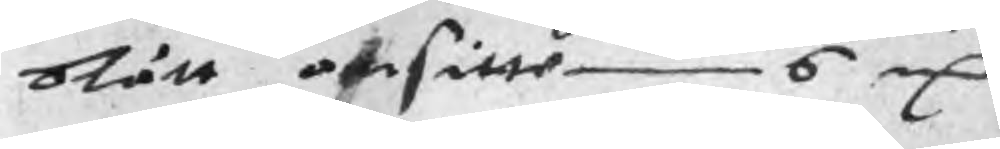blått ansitte 6 mC
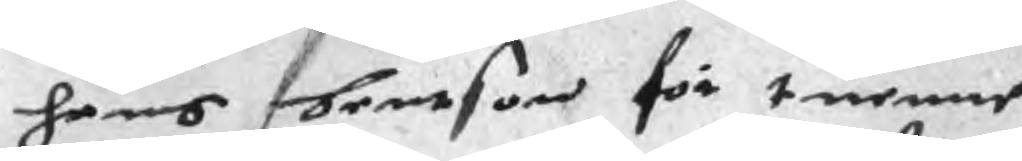hans bentson för tuenne
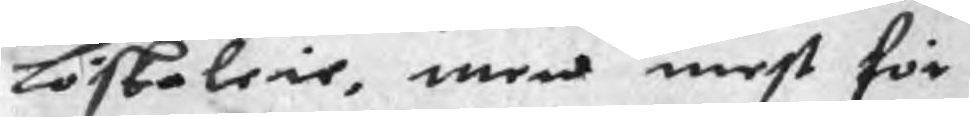Löskaleie, men mest för
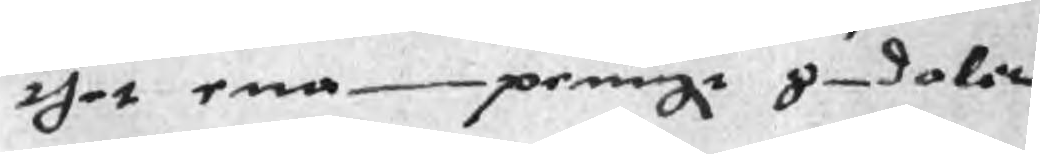thet ena peningr 8 daler
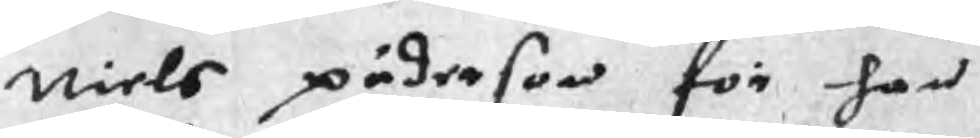Niels päderson för han
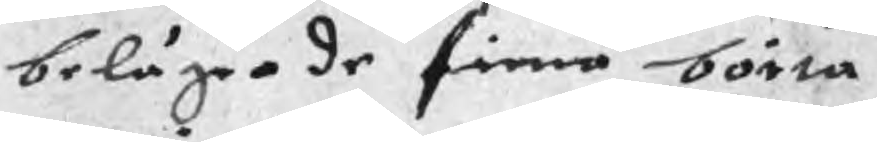belägrade finna börta
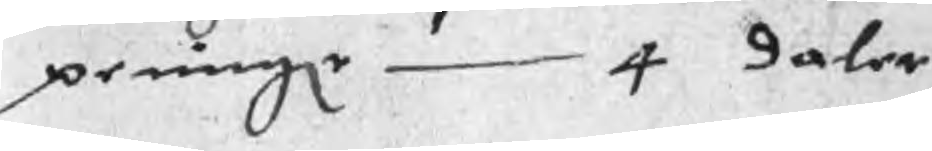peningr 4 daler
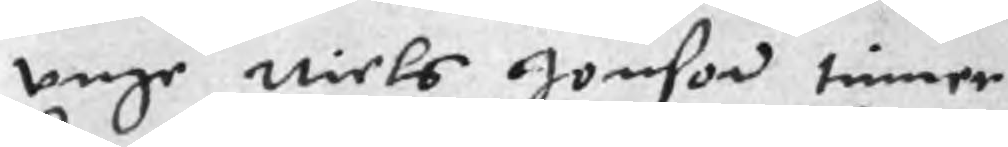unge Niels Jonson timmer
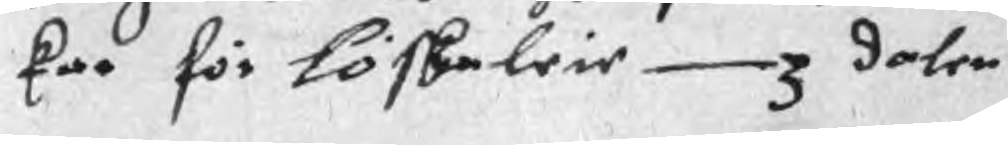kar för löskaleie 3 daler
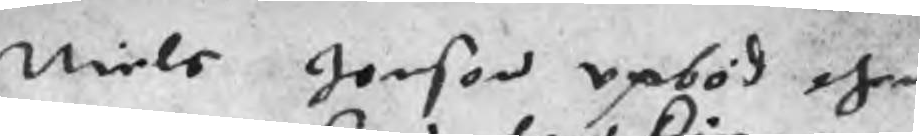Niels Jonson upböd then
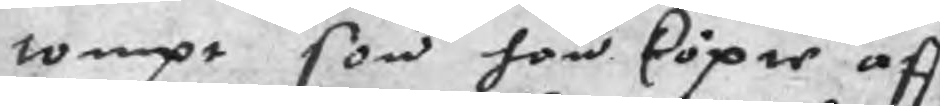tompt son han köpie aff
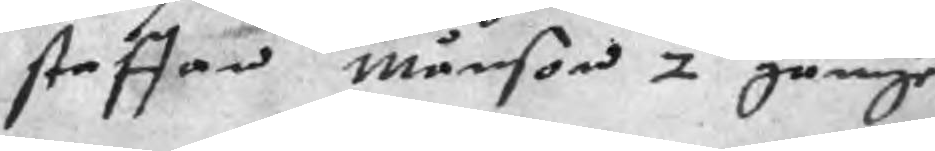staffan Månson 2 gångr
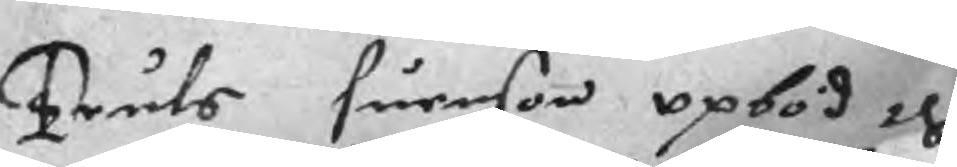Truls Suenson opböd then
